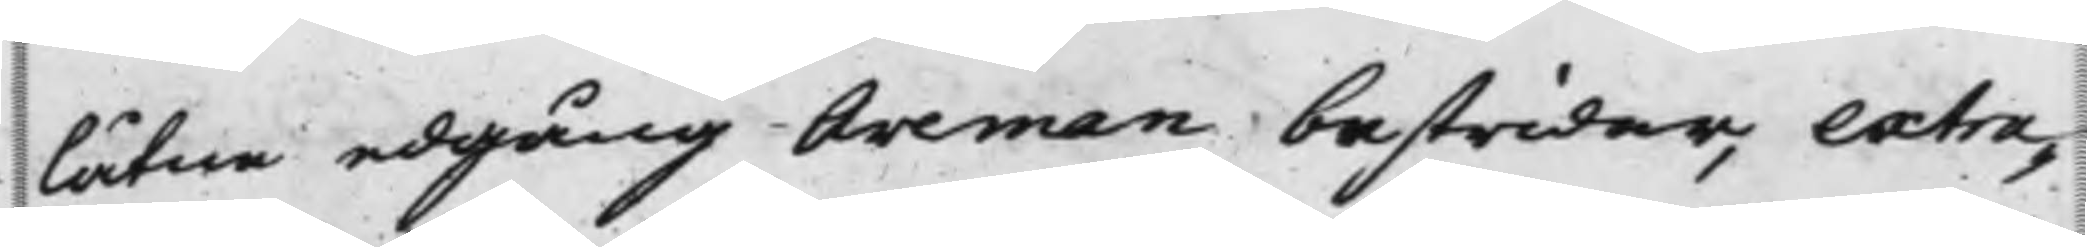låtne edgång Areman bestrider, extra¬
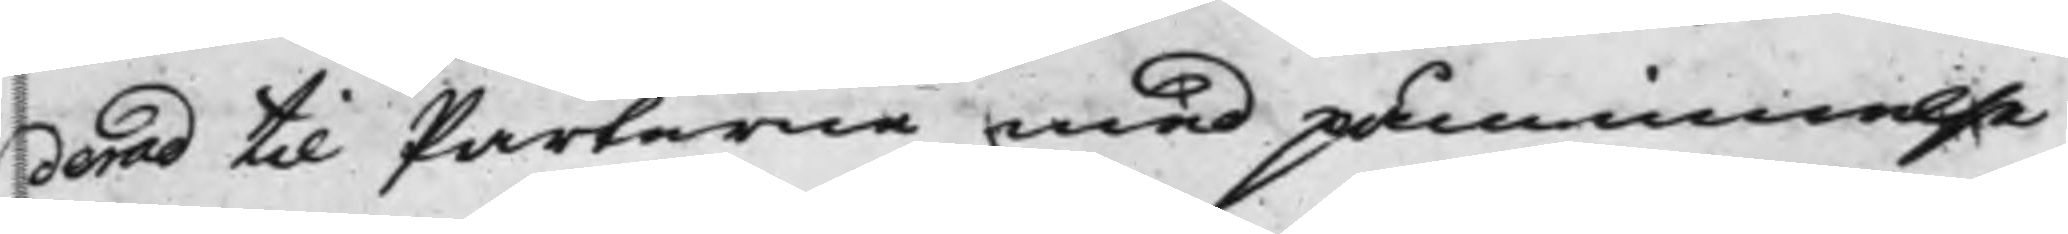derad til Parterne med påminnelse
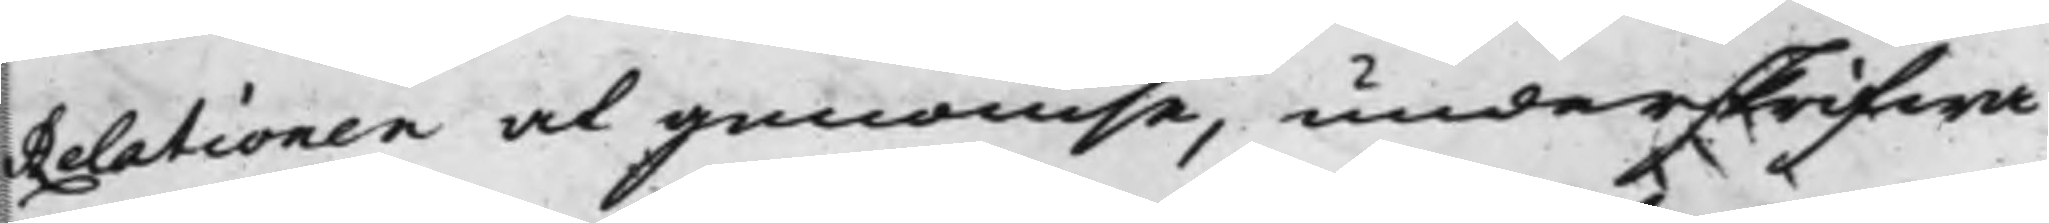Relationen at genomse, underskrifwa
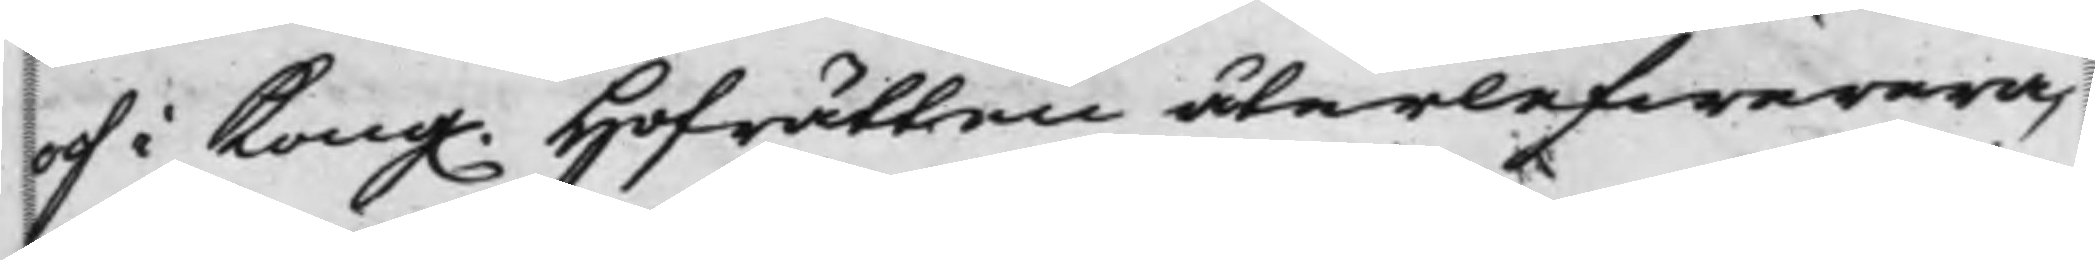och i Kong. Hofrätten återlefwerera,
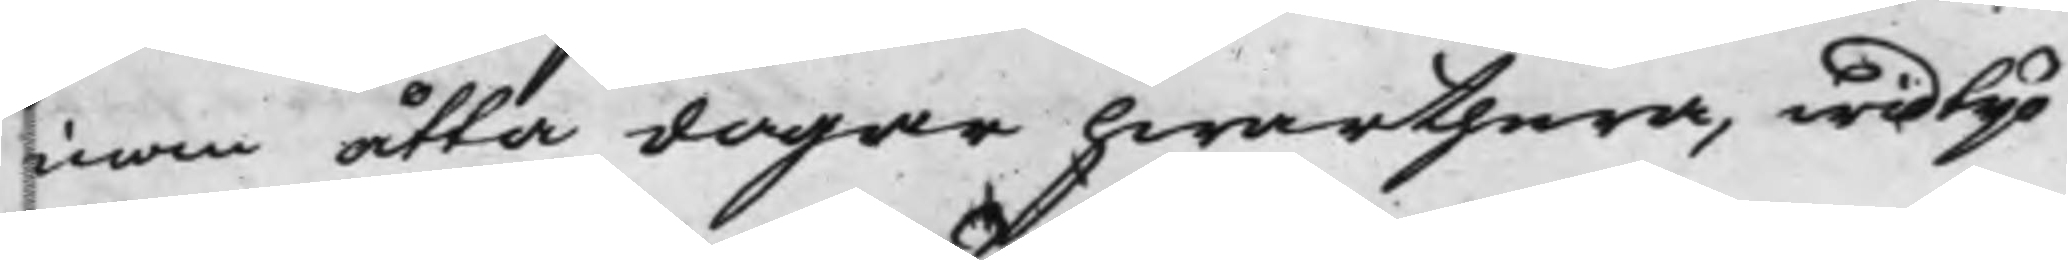inom åtta dagar hwarthera, wid tijo
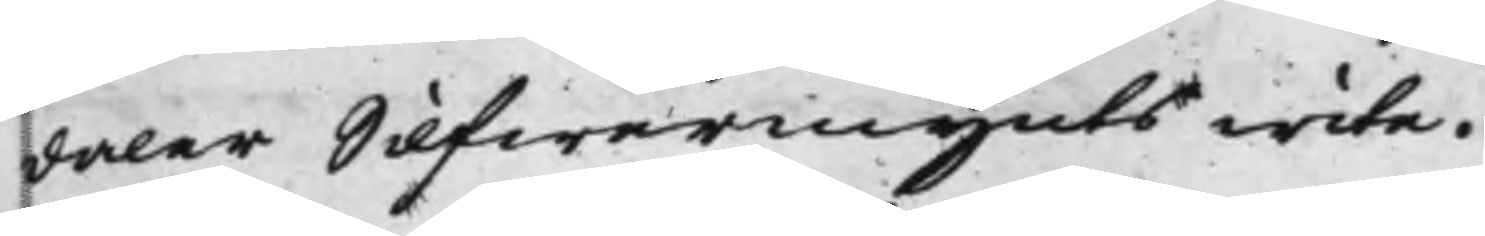daler Silfwermynts wite.
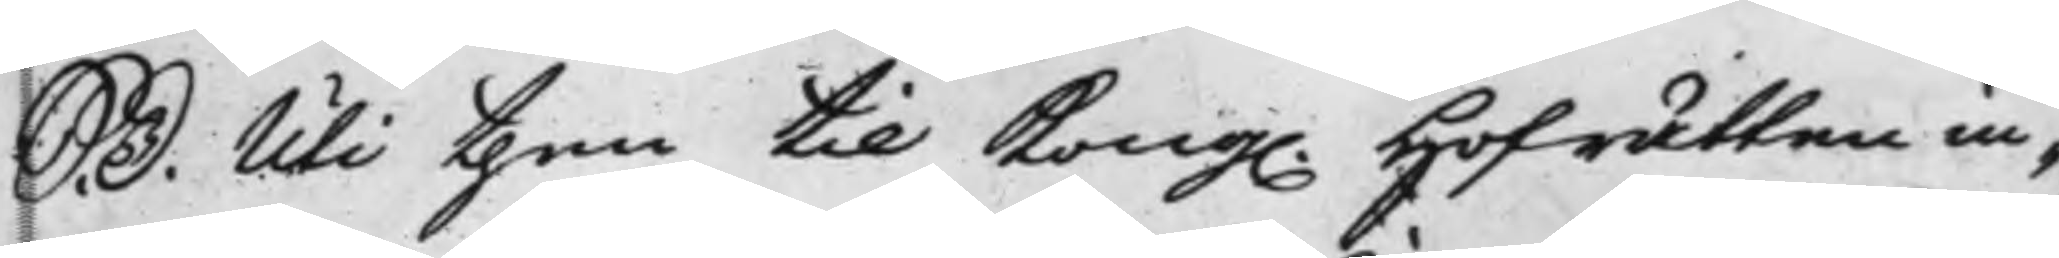S. D. Uthi then til Kong. Hofrätten in¬
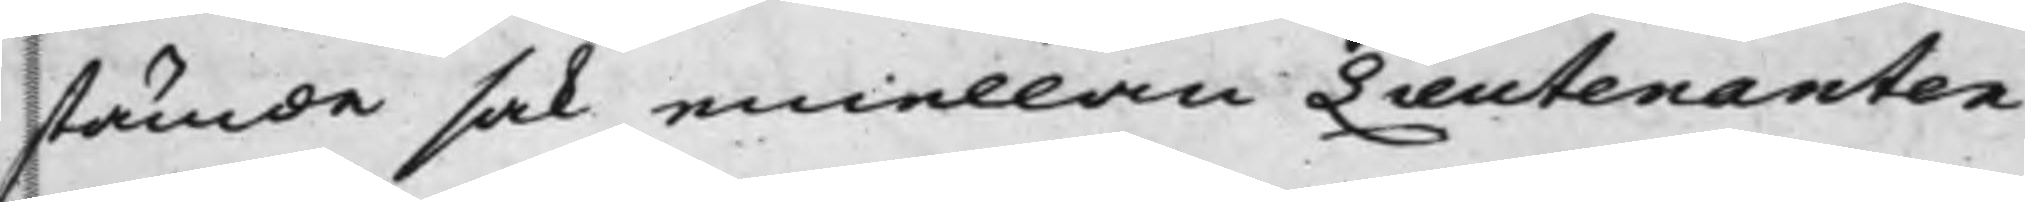stämde sak emellan Lieutenanten
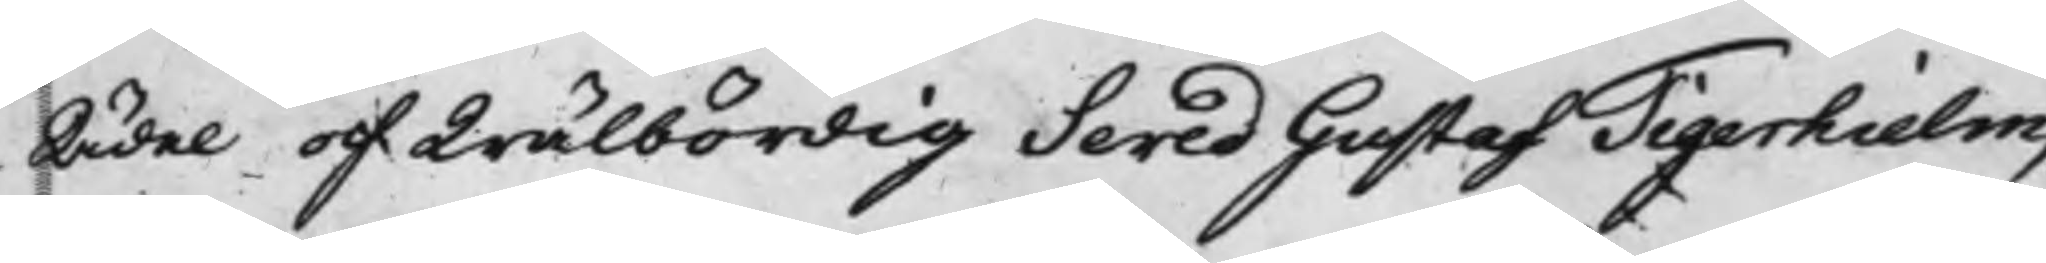Ädel och Wälbördig Seved Gustaf Tigerhielm,
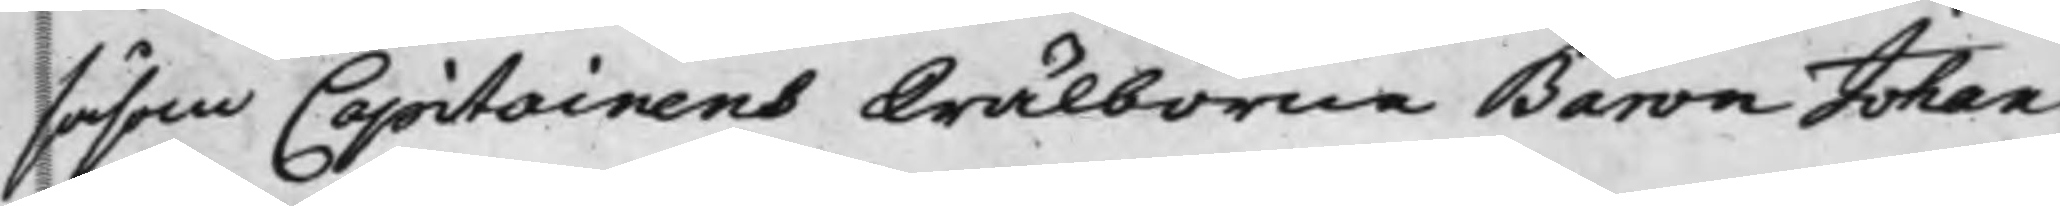såsom Capitainens Wälborne Baron Johan
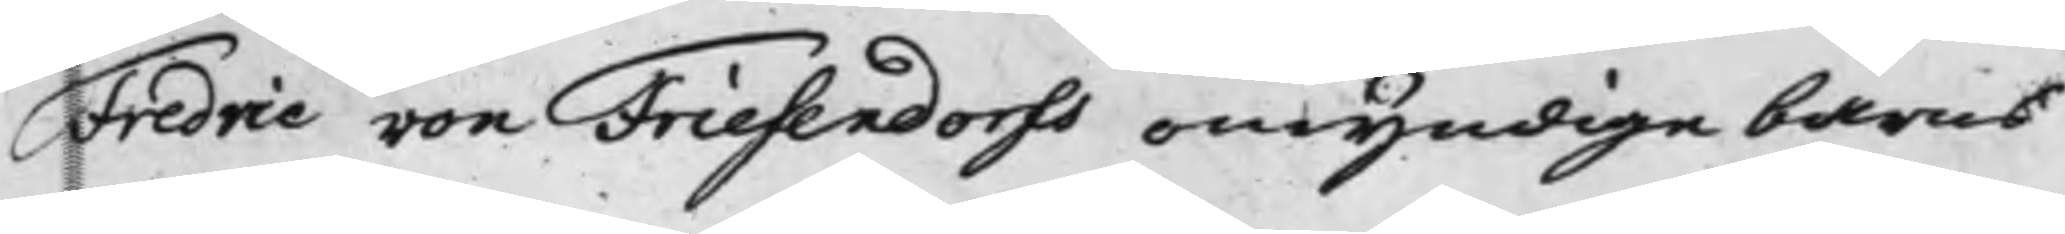Fredric von Friesendorfs omyndige barns
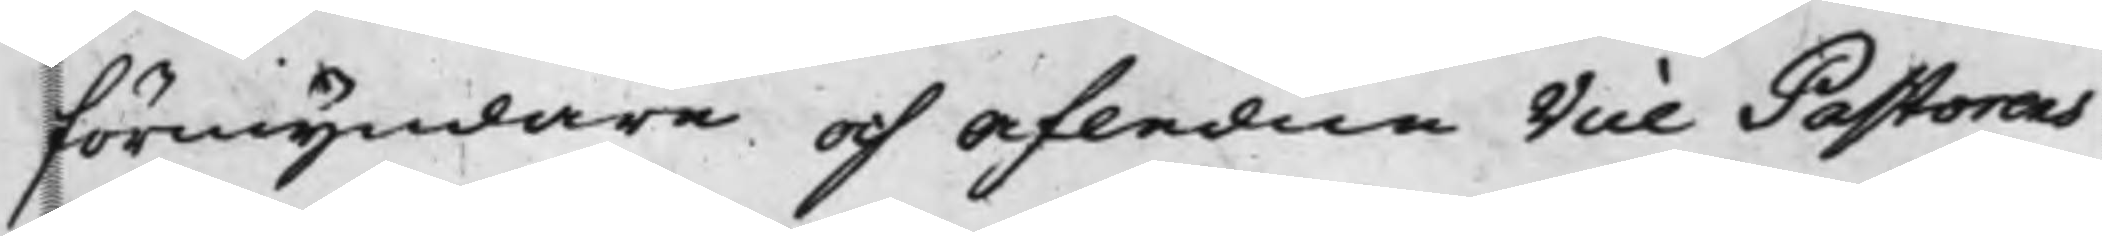förmyndare och afledne Vice Pastorens
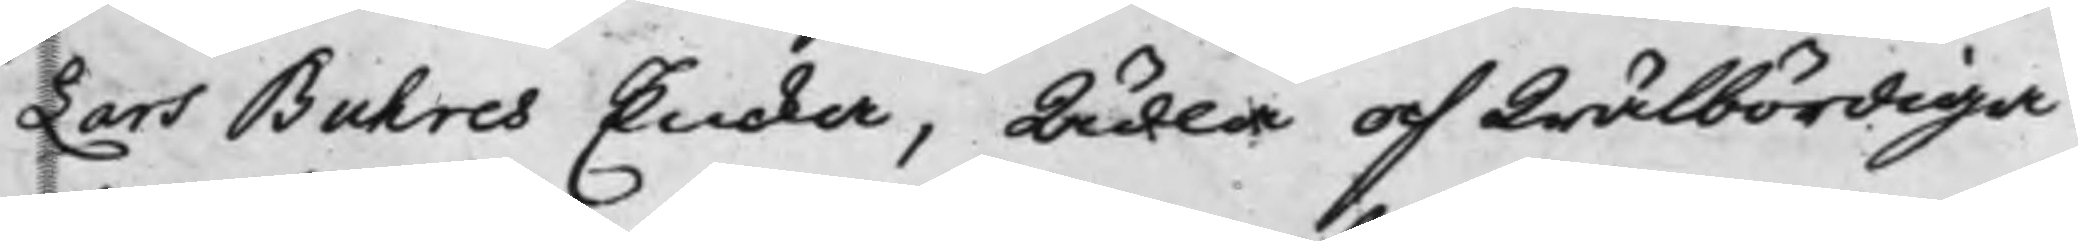Lars Buhres Encka, Ädla och Wälbördiga
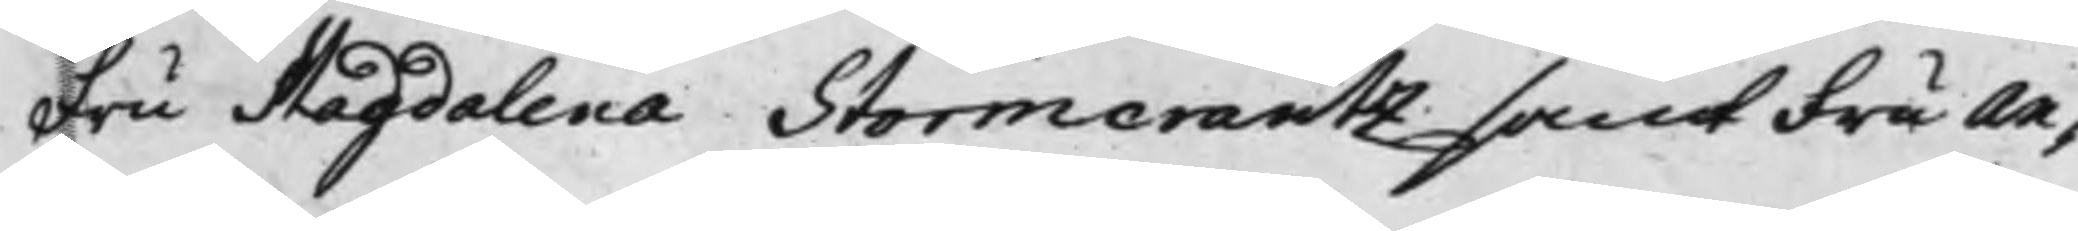Fru Magdalena Stormcrantz samt Fru An¬
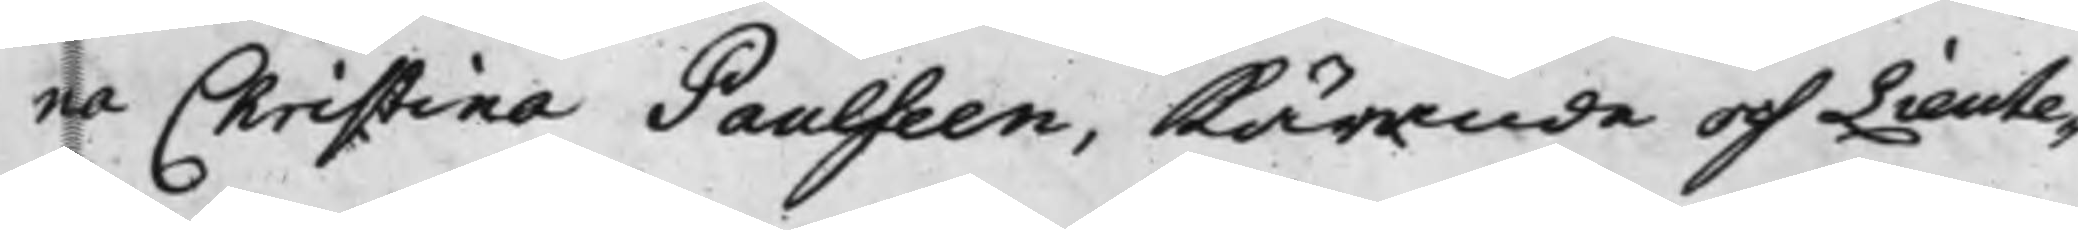na Christina Paulseen, Kärande och Lieute¬
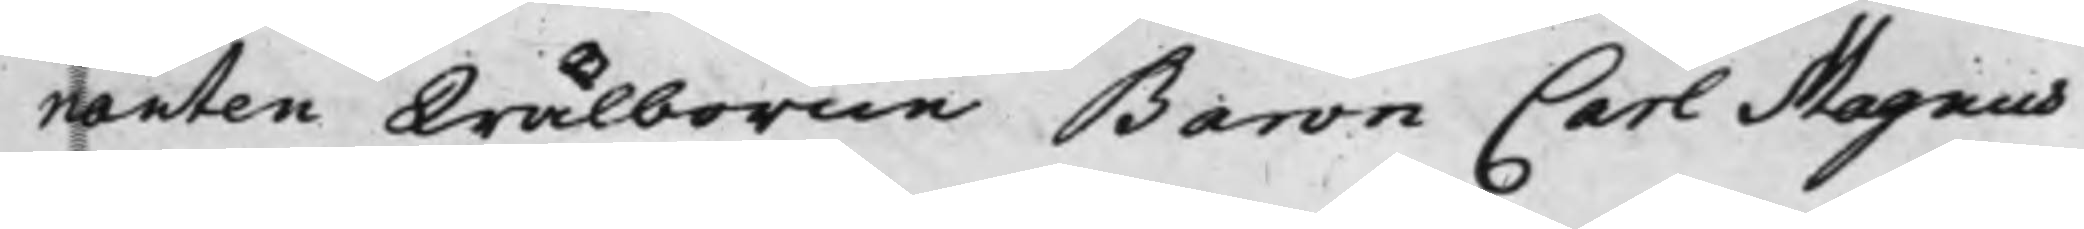nanten Wälborne Baron Carl Magnus
